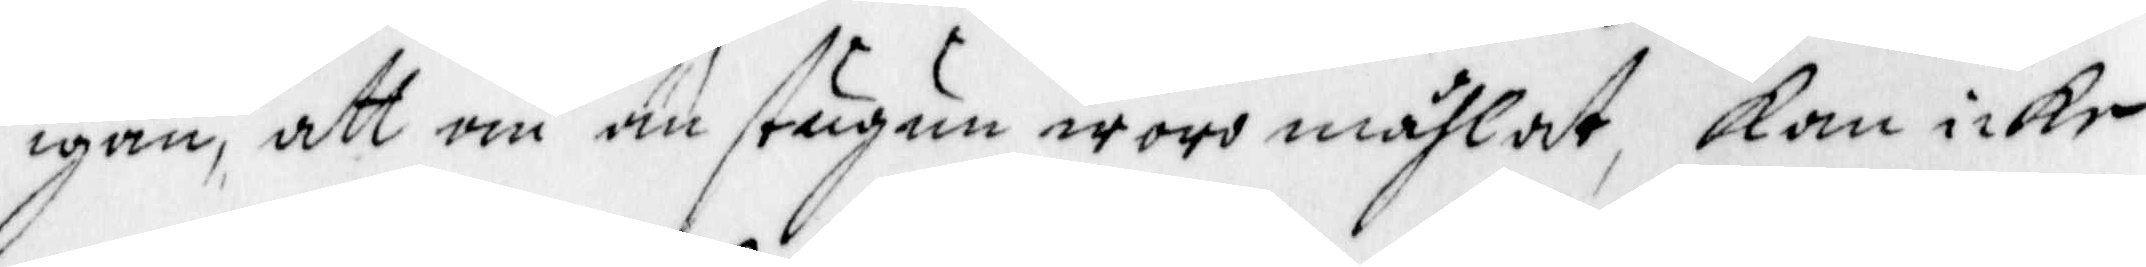igän, att om än stugan woro måhlat, Kan icke
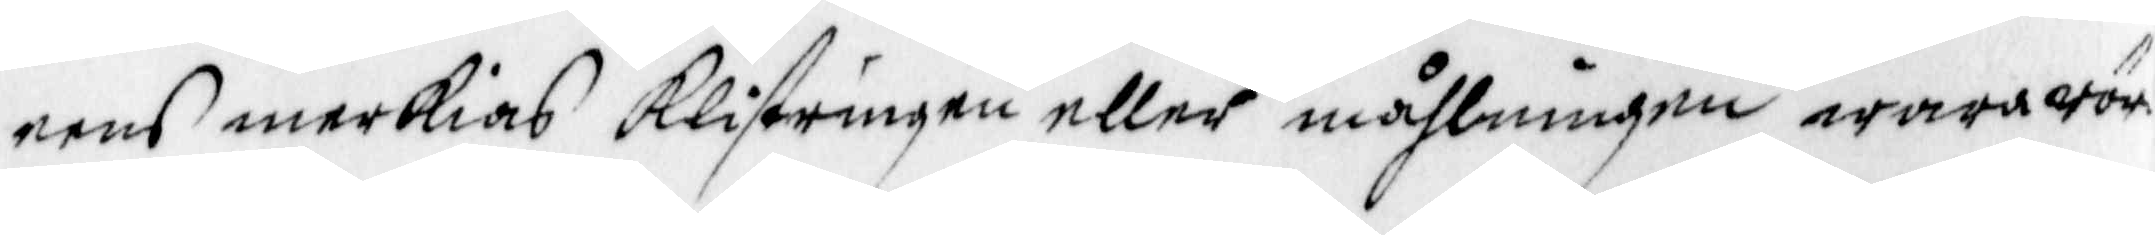eens merkias Klistringen eller måhlningen wara rör¬
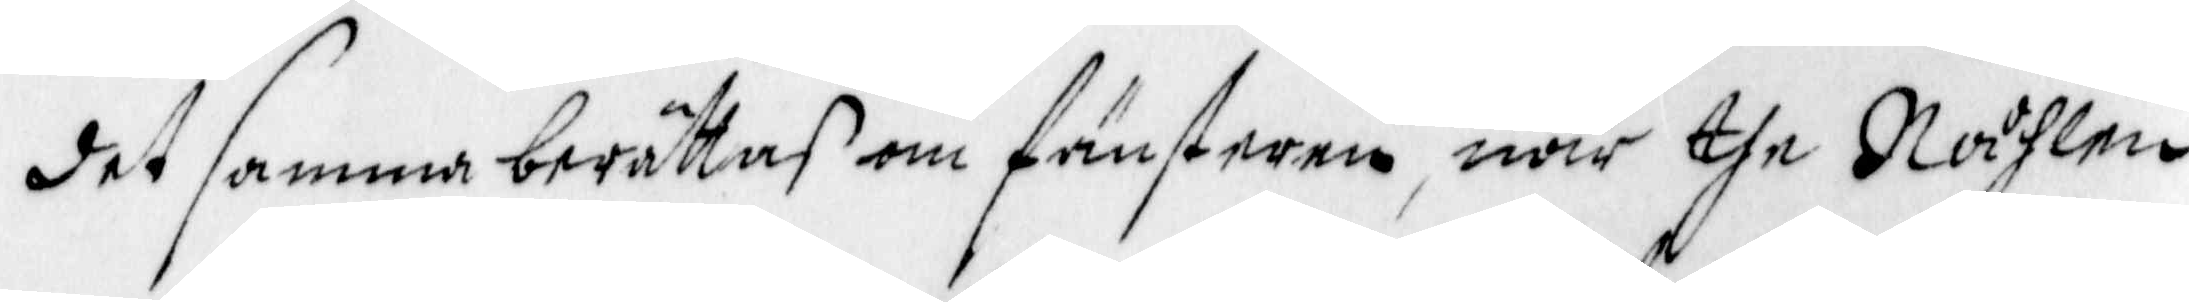det samma berättas om fönsterne, när the Nåhlen
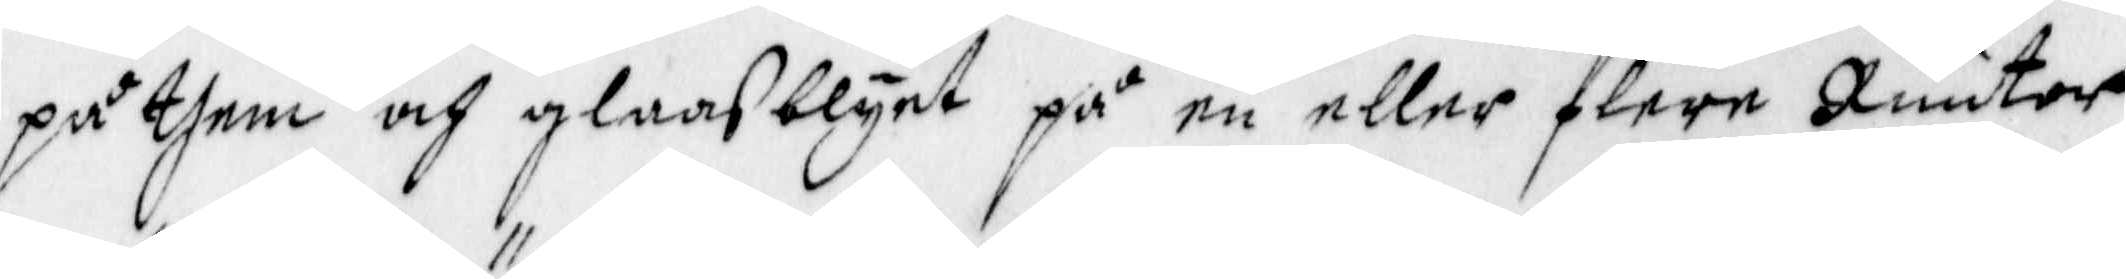på them och glaasblyet på en eller flere Ruutor
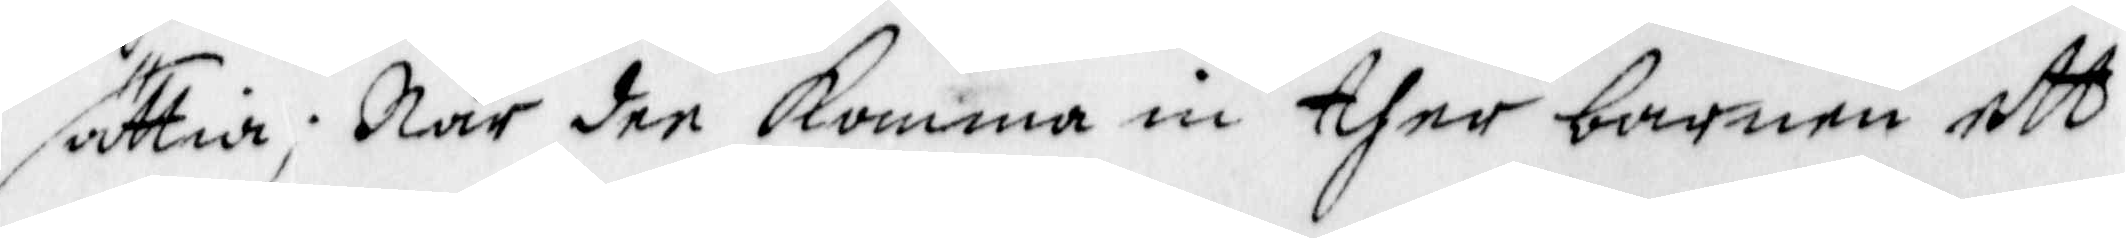sättia; När dee Komma in ther barnen ett
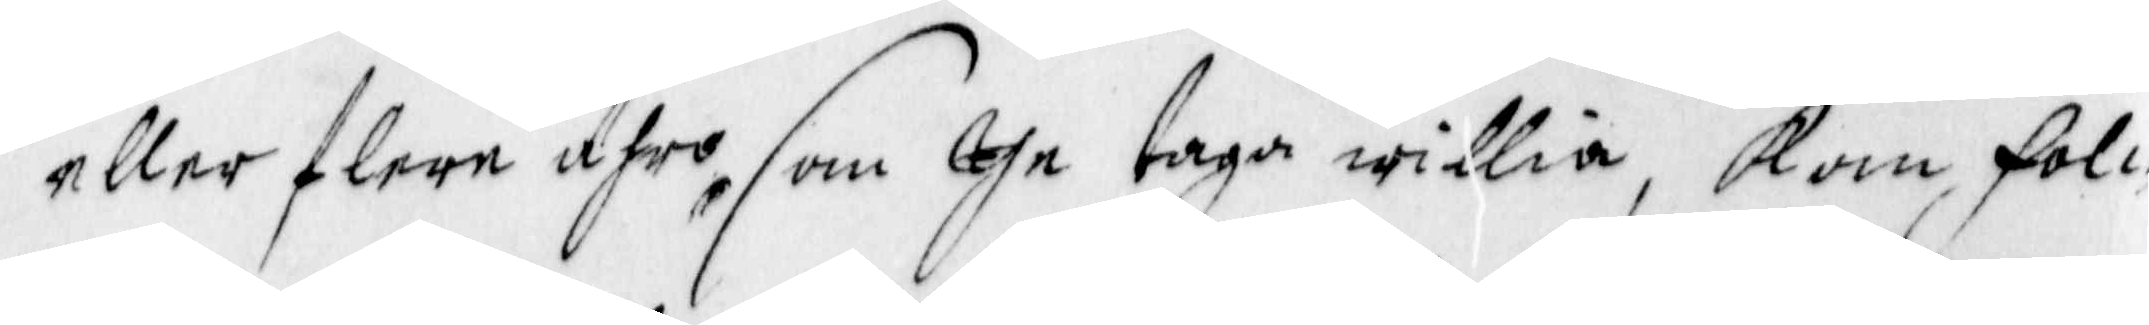eller flere ähro, som dhe taga willia, Kam fol¬
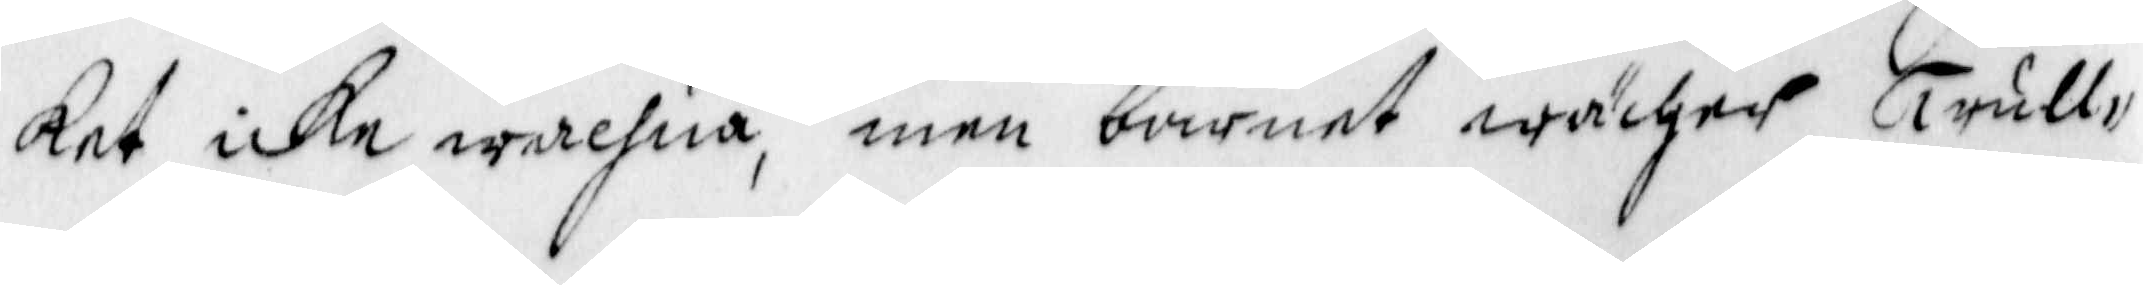ket icke wachna, men barnet wächer Trull¬
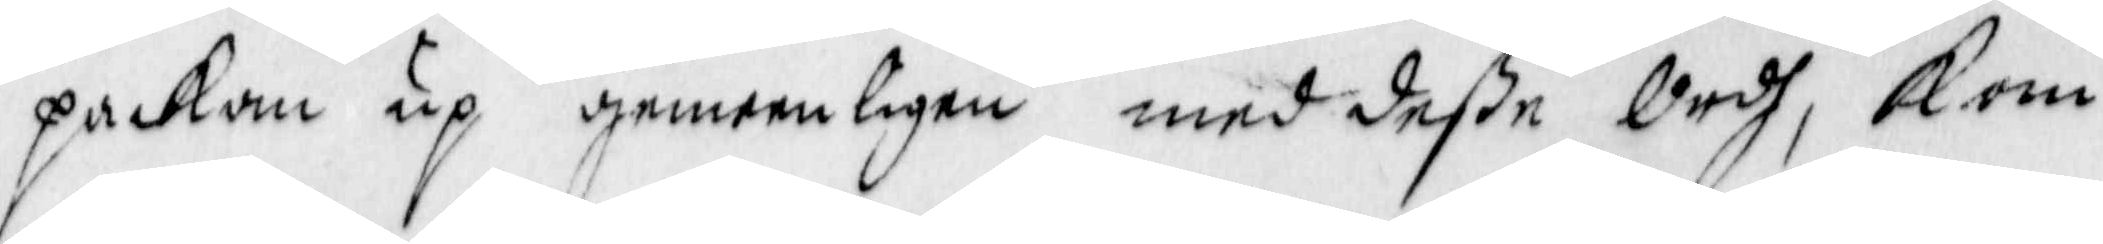packan up gemeenligen med deße Ordh, kom
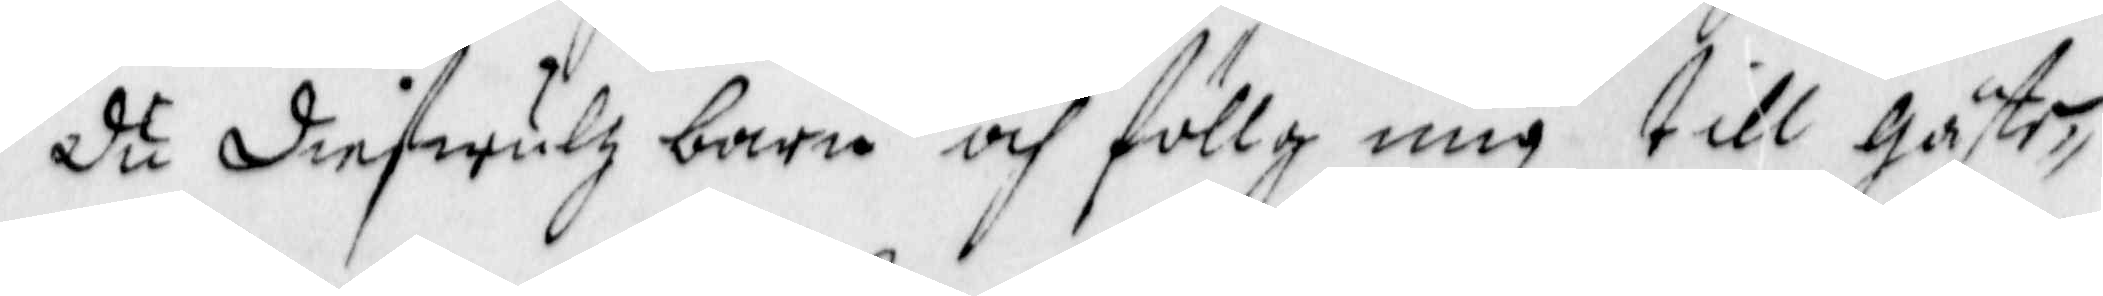Du Diefwulz barn och föllg mig till gäste¬
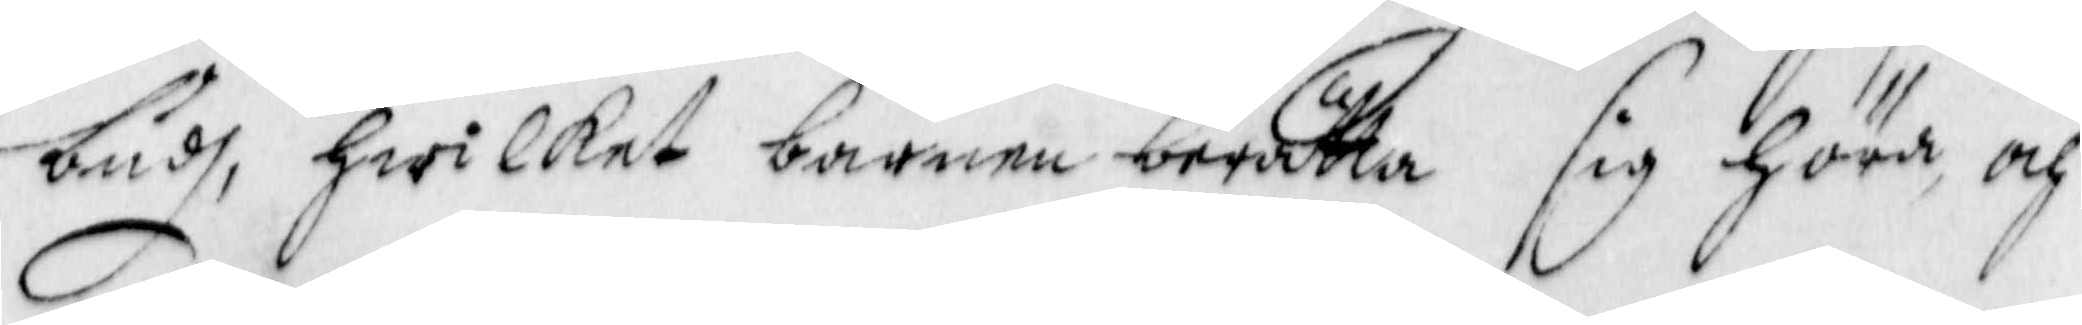budh, hwilket barnen berätta sig Höra, och
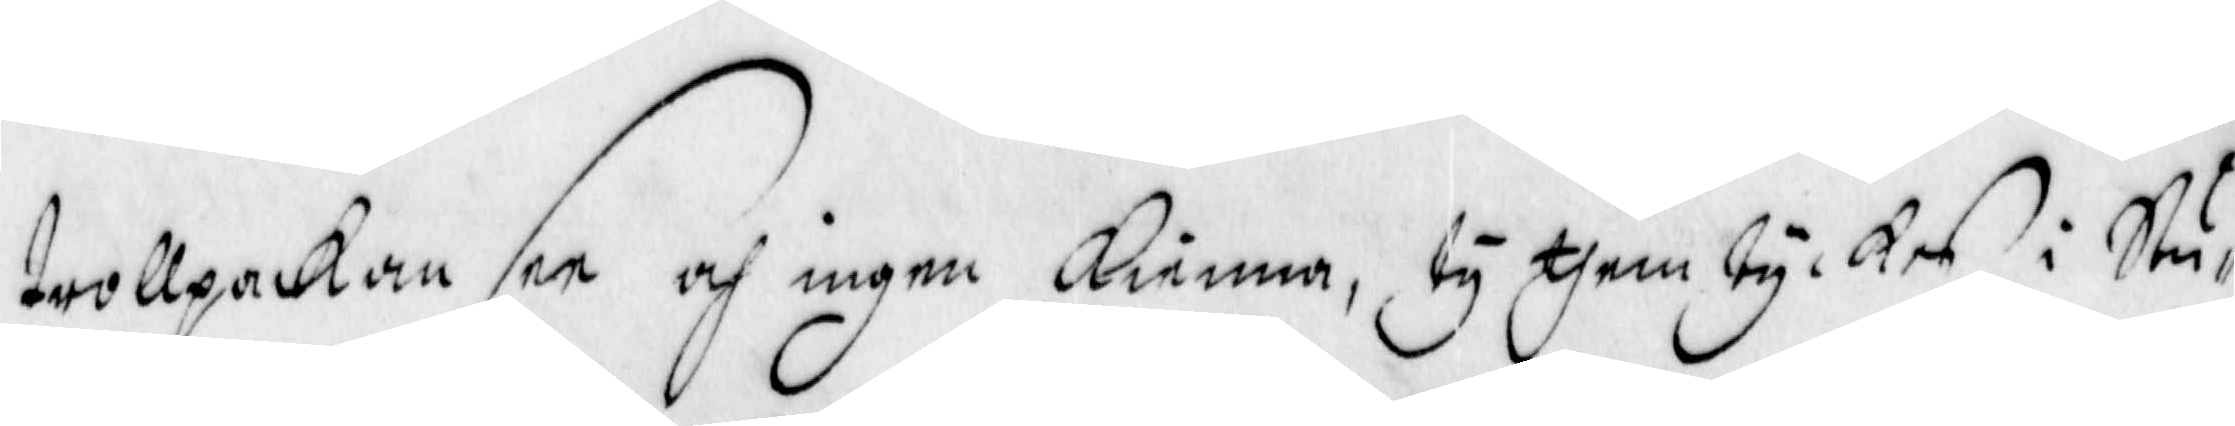trollpackan see och ingen Kienna, ty them tyckes i Stu¬
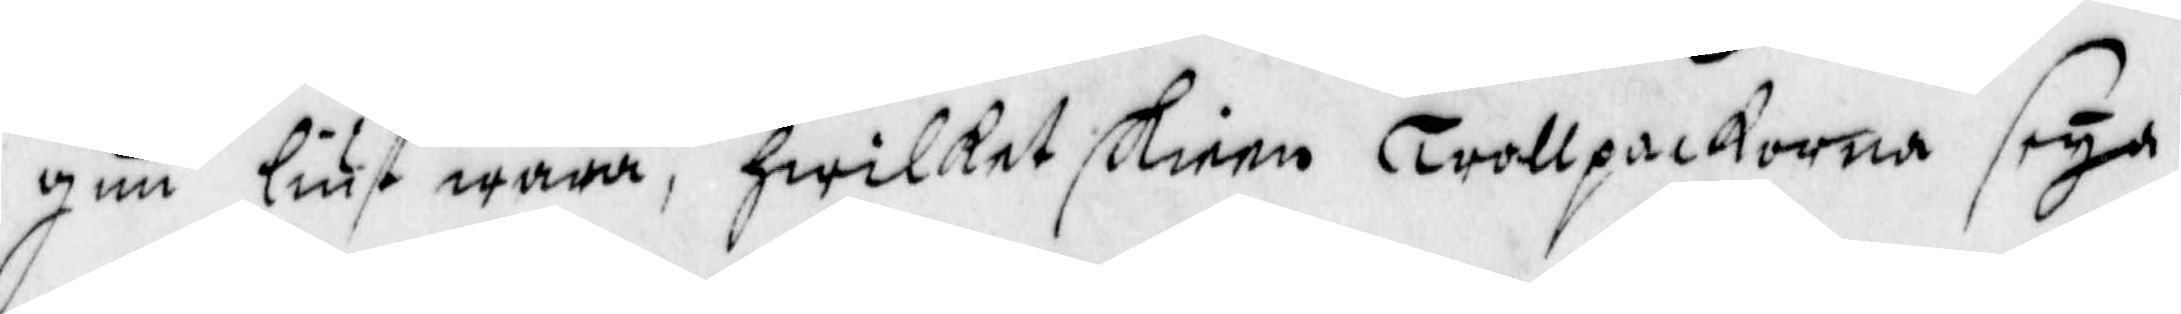gun liust wara, hwilket skieen Trollpackorna seya
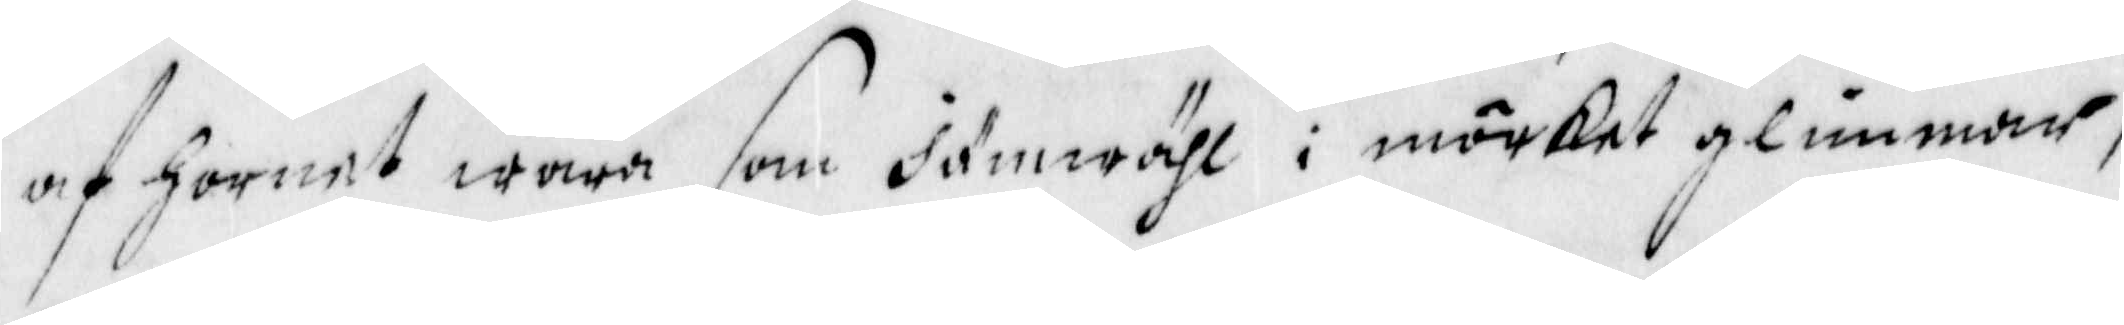af hornet wara som Jämwähl i mörket glimmar,
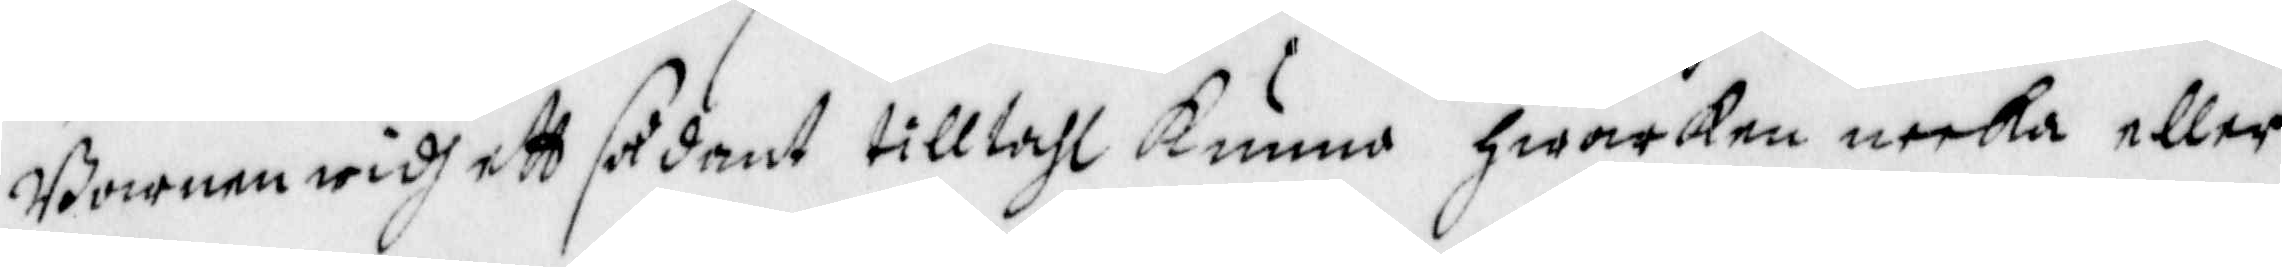Barnen widh ett sådant tilltahl Kunna hwarken neeka eller
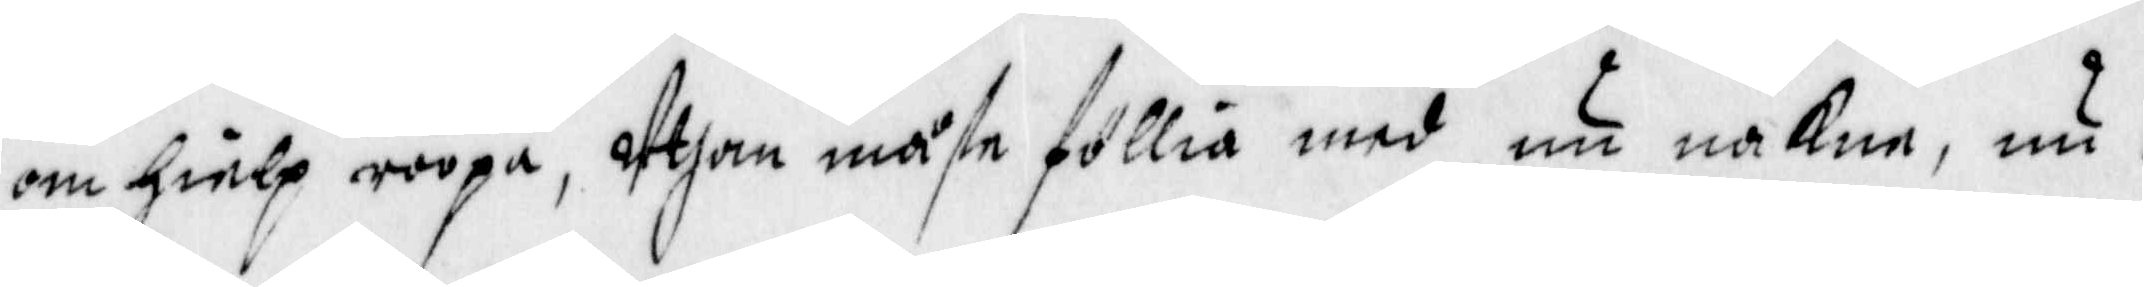om hielp roopa, Uthan måste föllia med, nu nakne, nu i
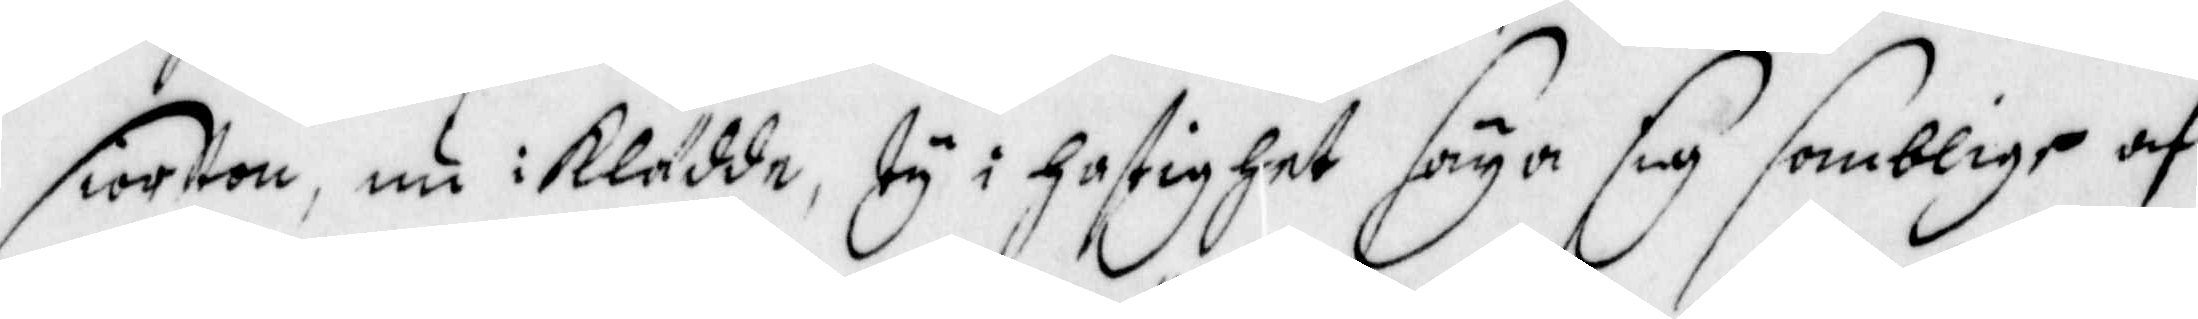siorton, nu i klädde, ty i hastighet säya sig samblige af
